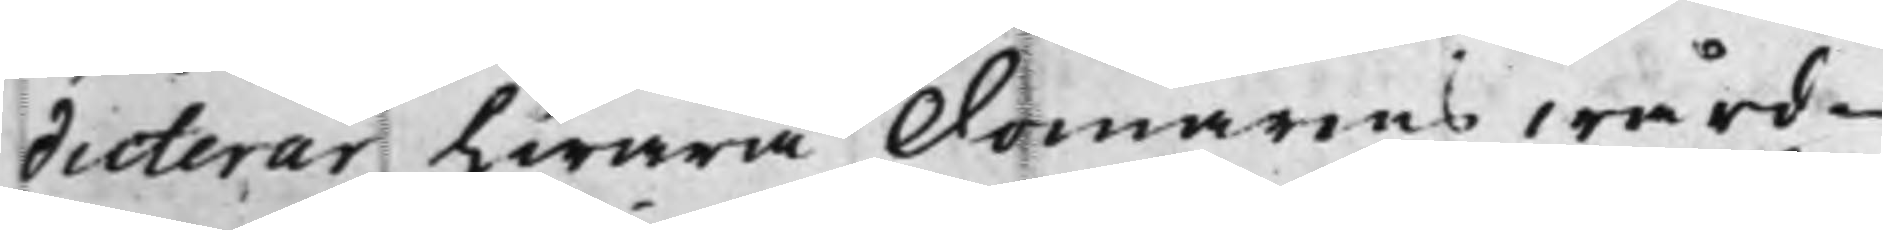dicterar hwarå Domarens wård¬
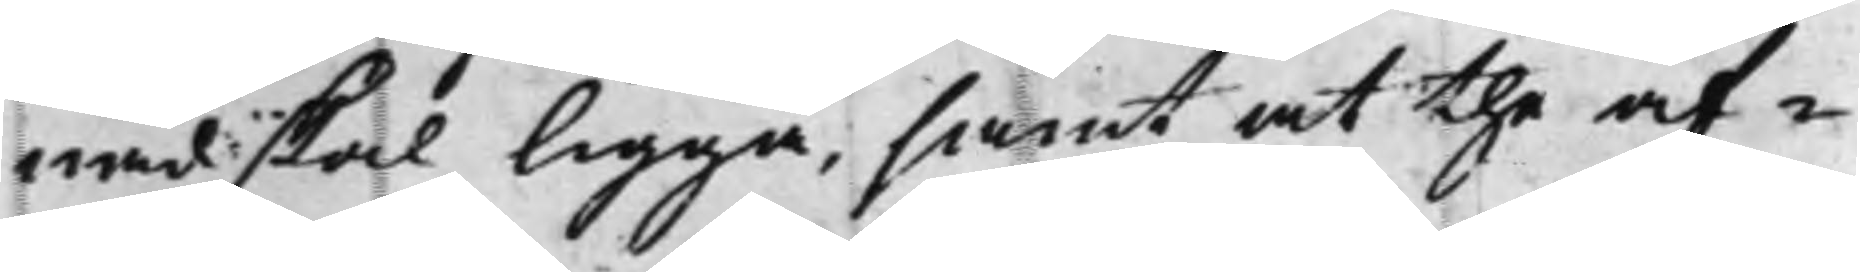nad skal ligga, samt at the af¬
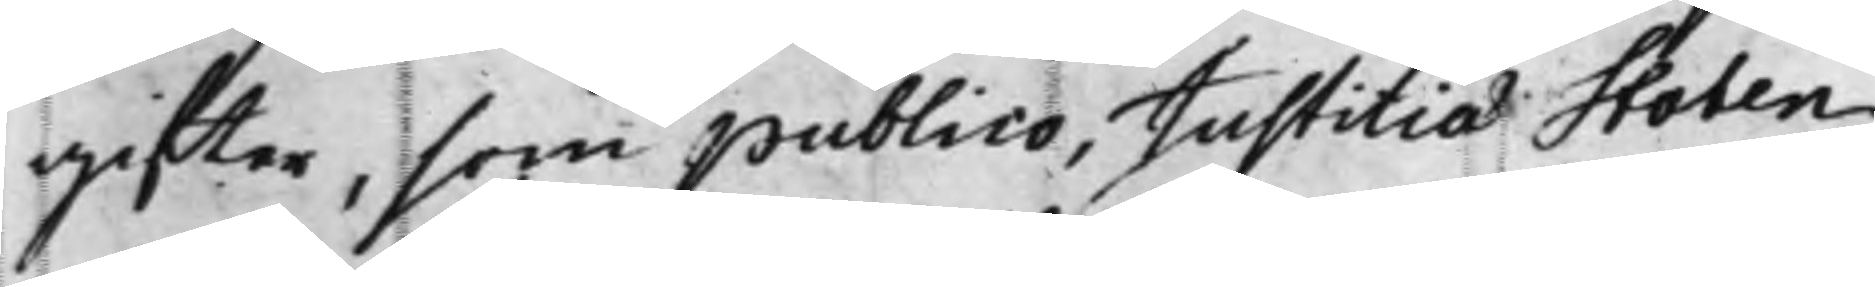gifter, som publico, Justitiae Staten
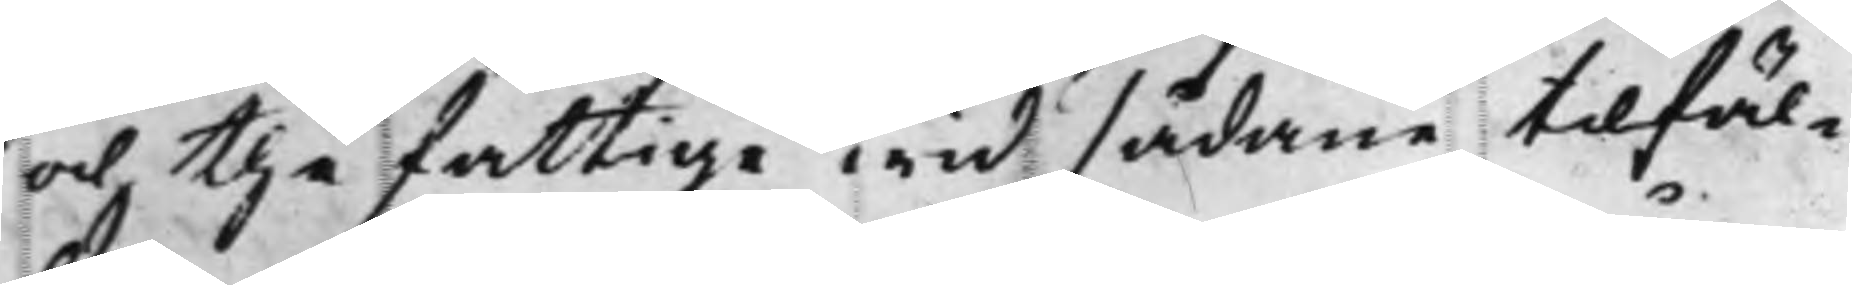och the fattige wid sådane tilfäl¬
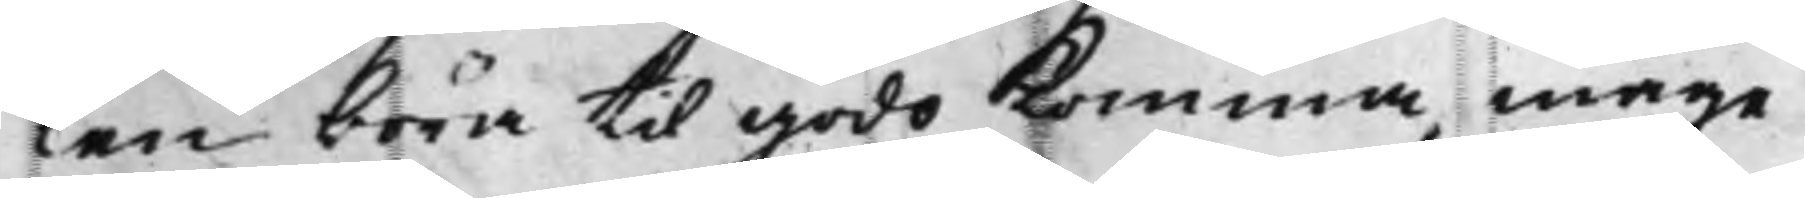len böra til godo Komma, måge
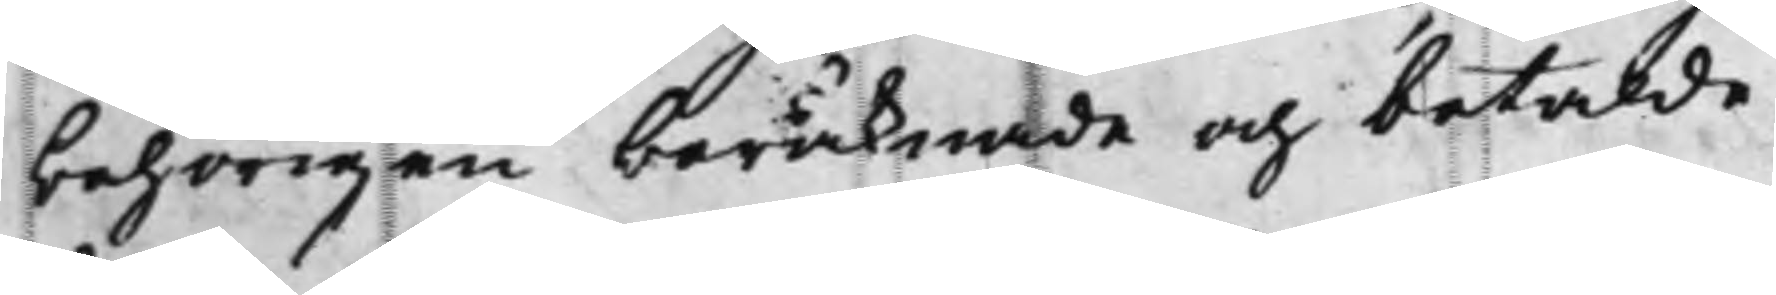behörigen beräknade och betalde
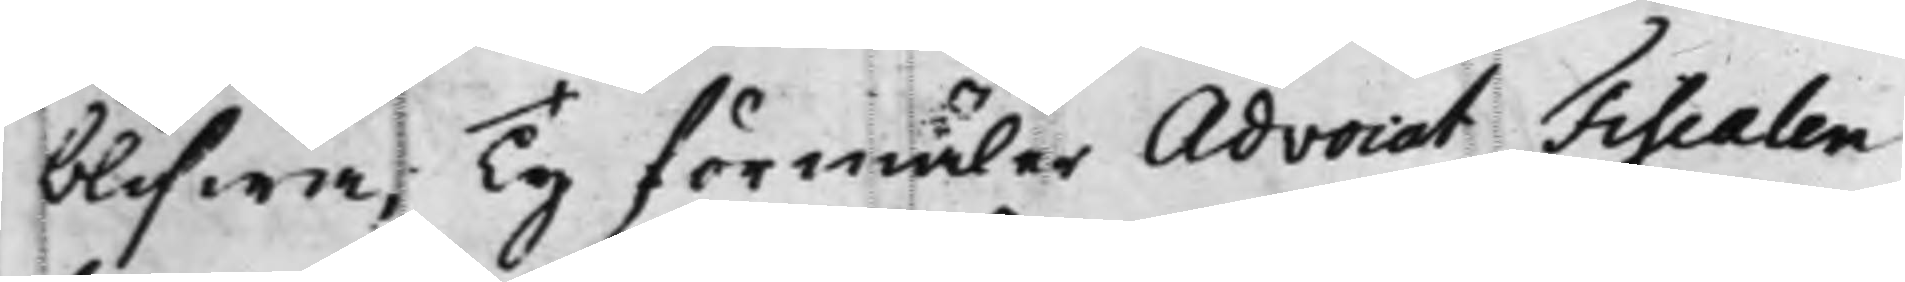blifwa, Ty förmäler Advocat Fiscalen
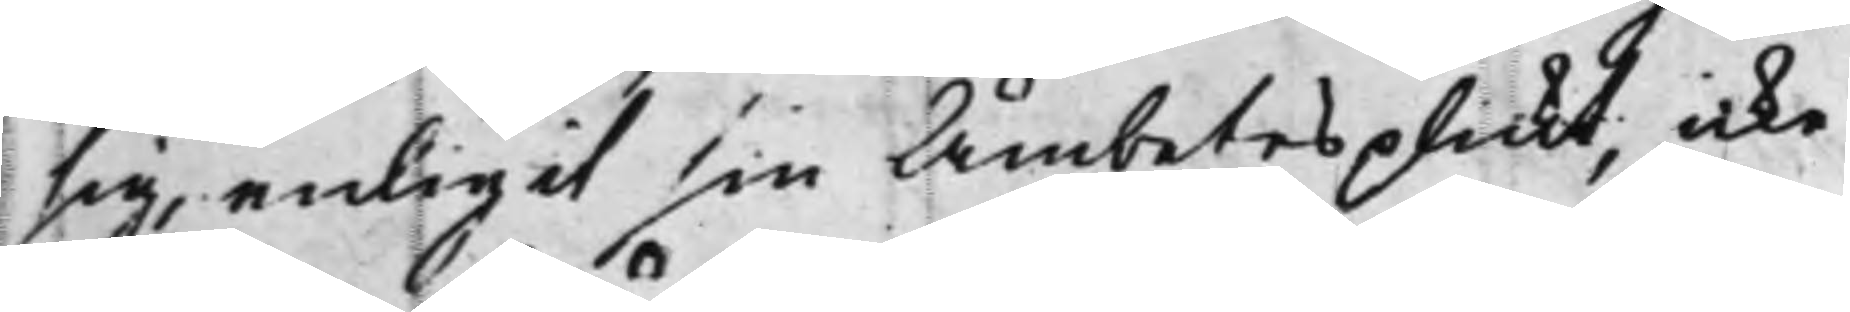sig, enligit sin Ämbetes plickt, icke
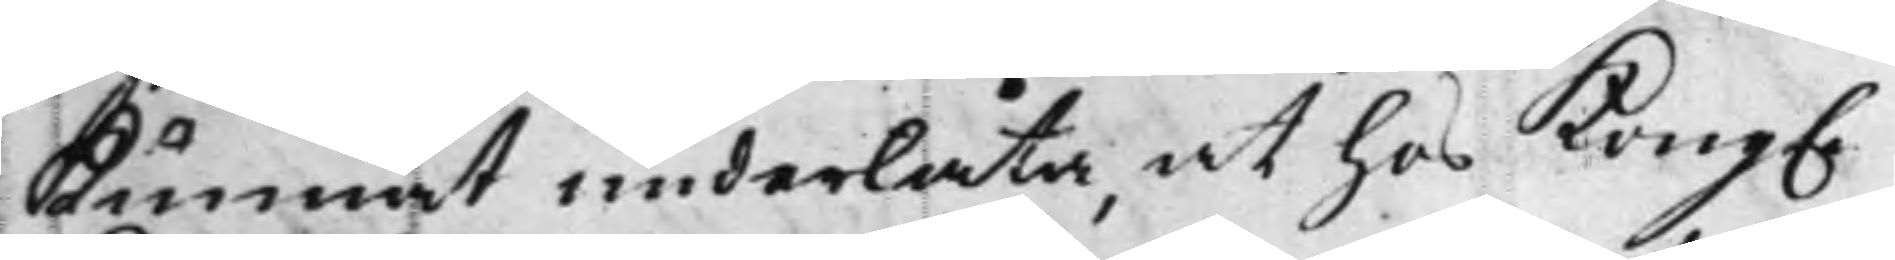kunnat underlåta, at hos Kong.
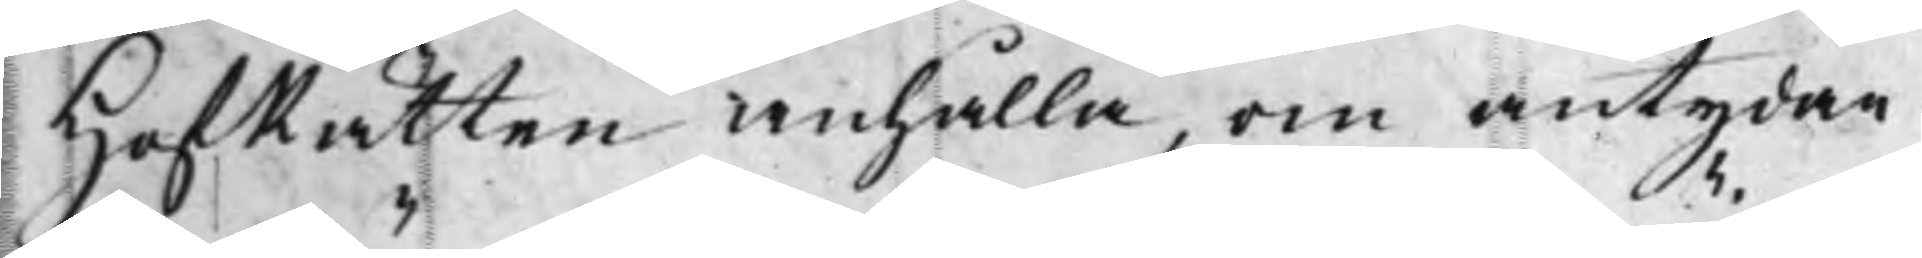HofRätten anhålla, om antydan
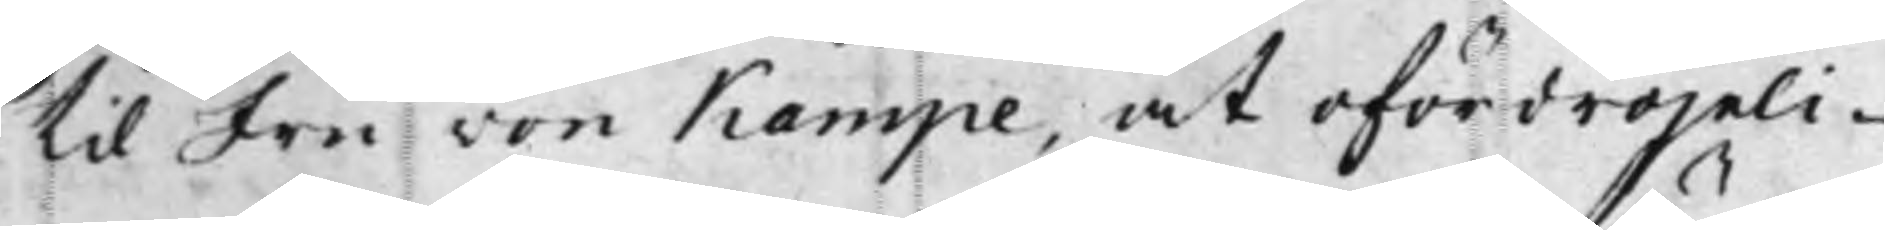til Fru von Kampe, at ofördröjeli¬
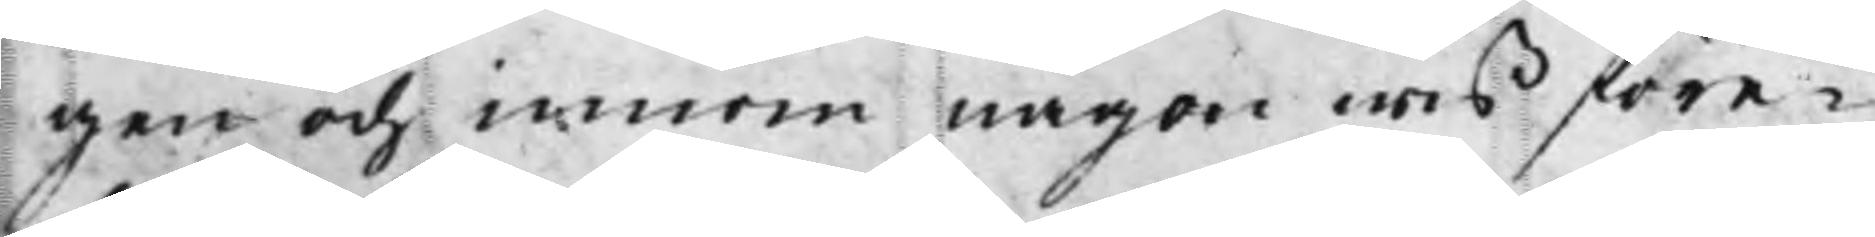gen och innom någon wis före¬
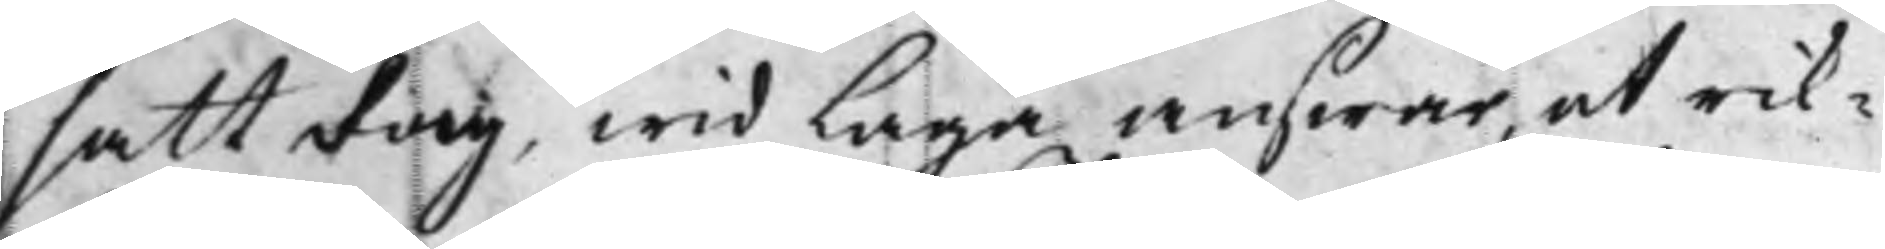satt dag, wid Laga answar, at rik¬
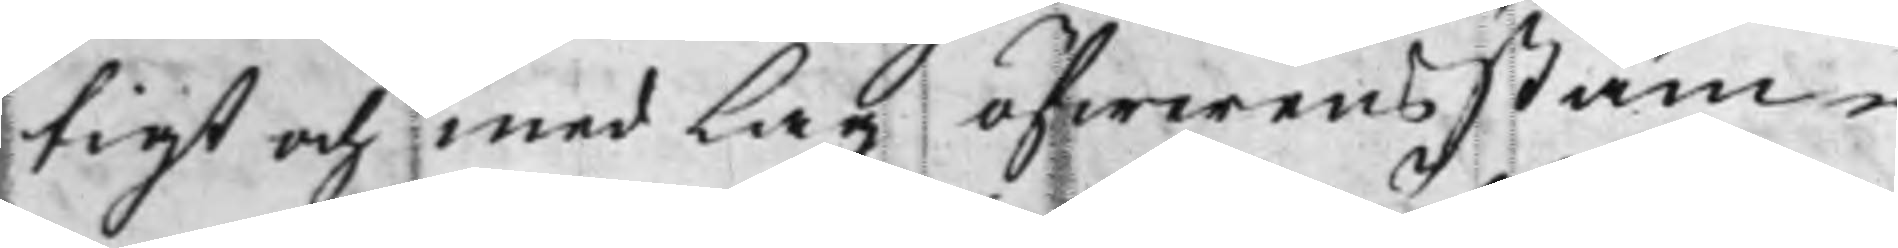tigt och med Lag öfwerensstäm¬
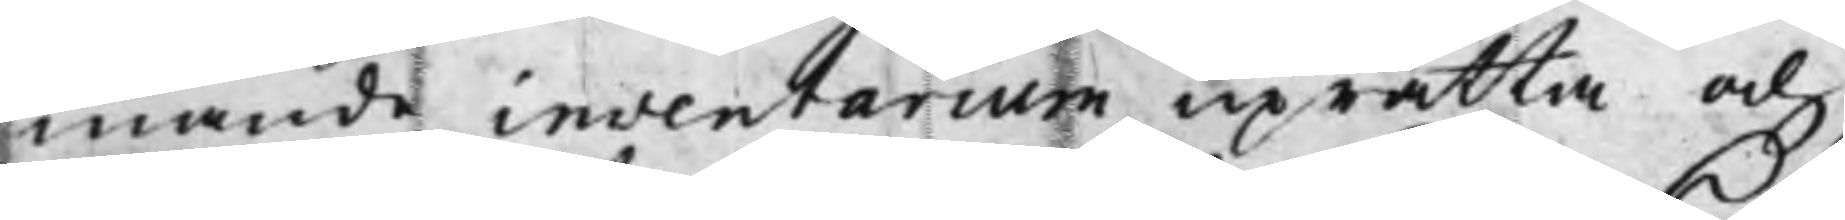mande inventarium uprätta och
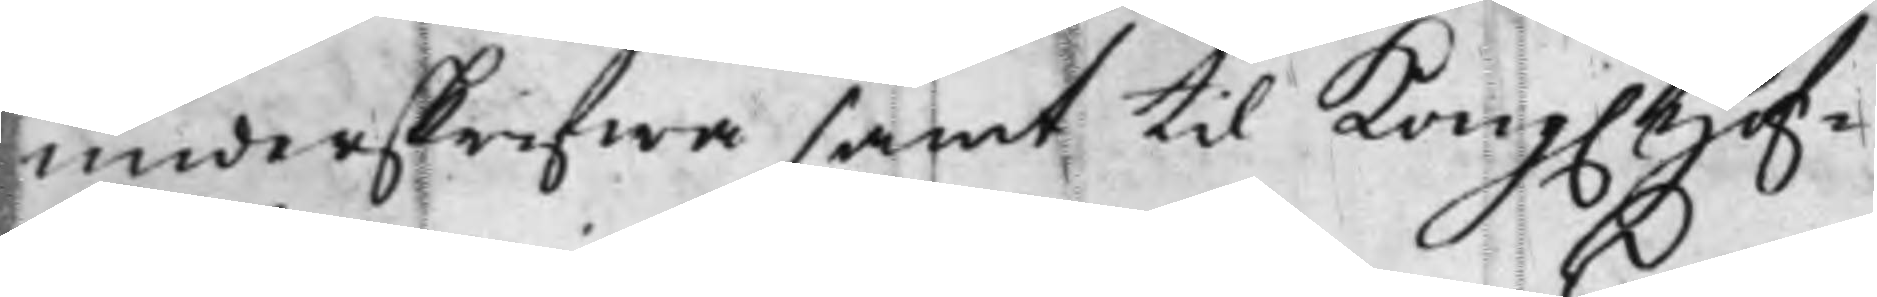underskrifwa samt til Kong. Hof¬
